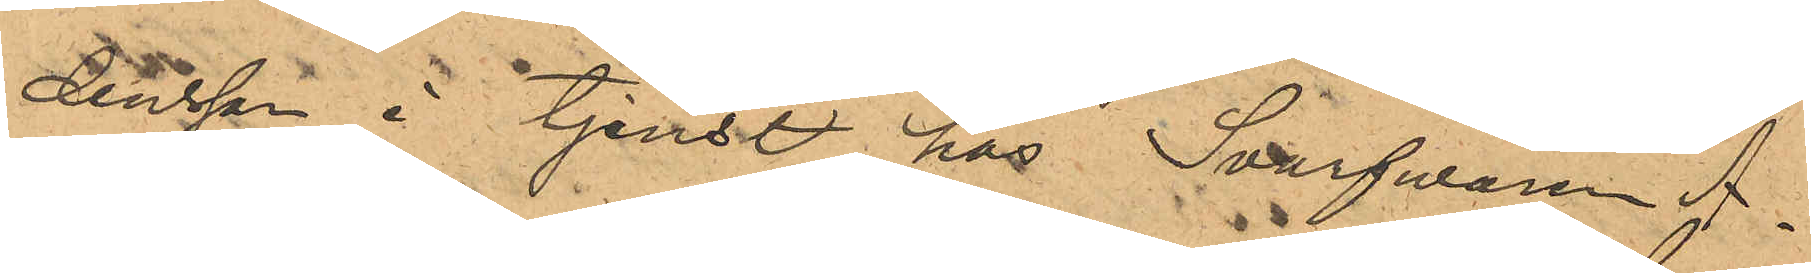dersson i tjenst hos Svarfvaren A.
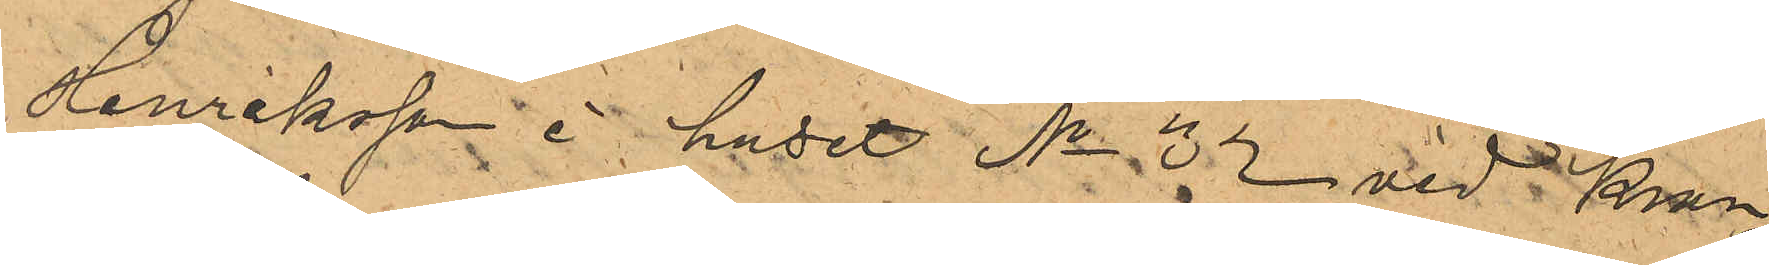Henriksson i huset No 32 vid Kron¬
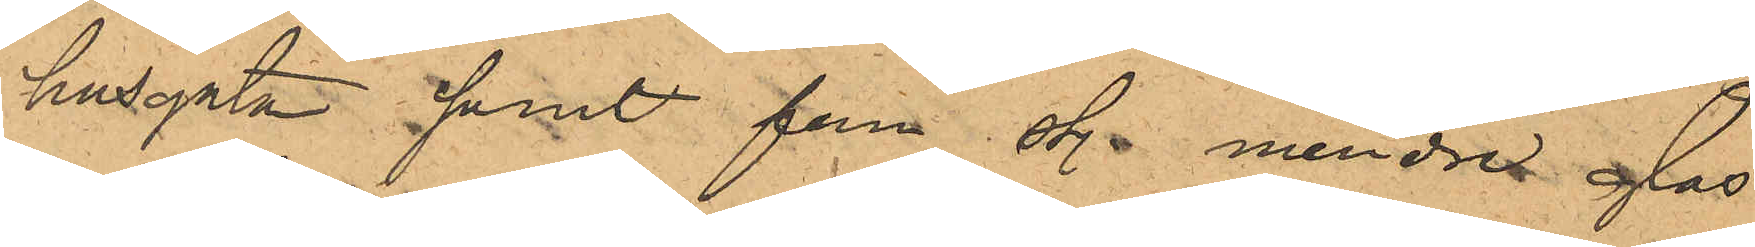husgatan samt fem st. mindre glas¬
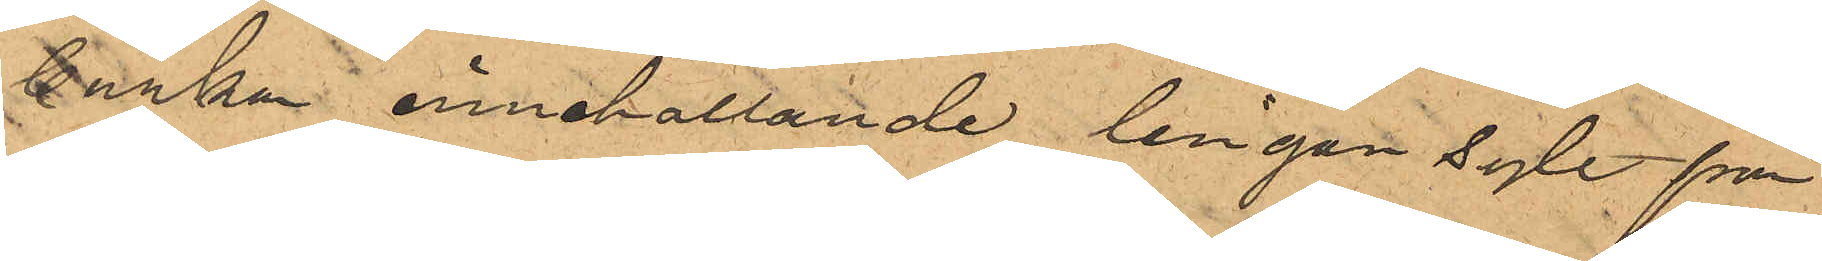burkar innehallande lingon sylt från
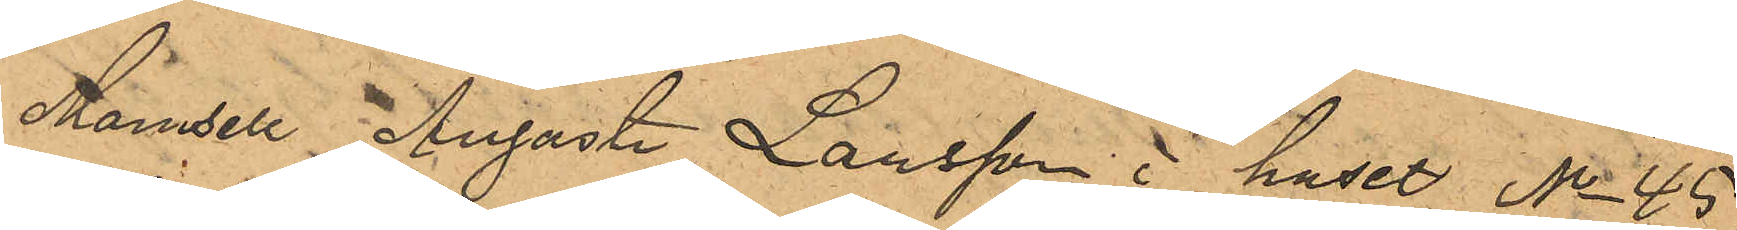Mamsell Augusta Larsson i huset No 45
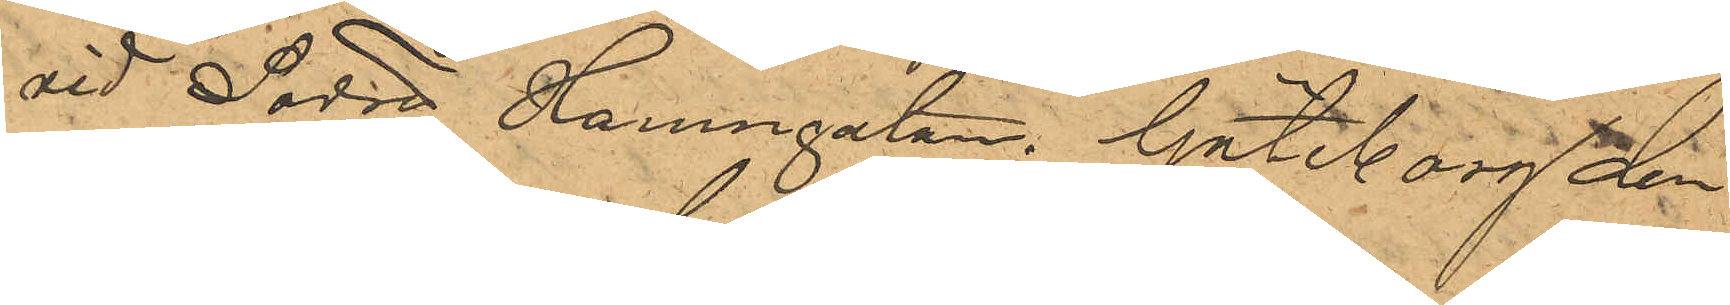vid Södra Hamngatan. Göteborg den
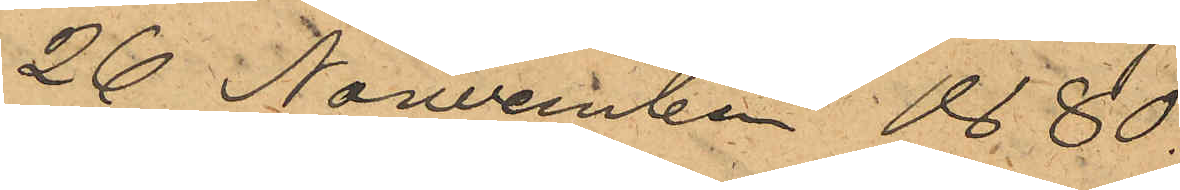26 Nowember 1880.
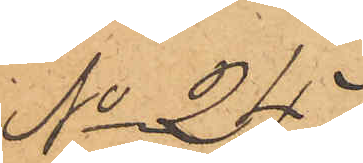No 247.
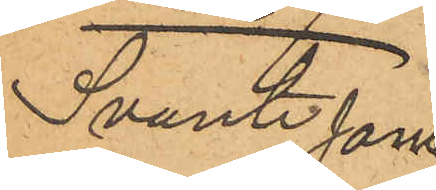Svante Jons¬
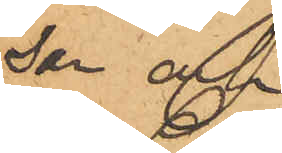son och
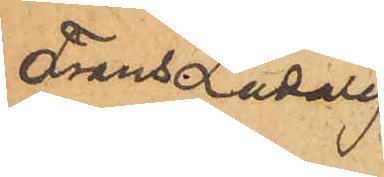Frans Ludvig
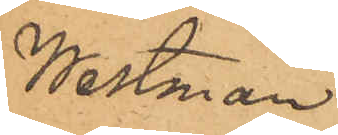Westman
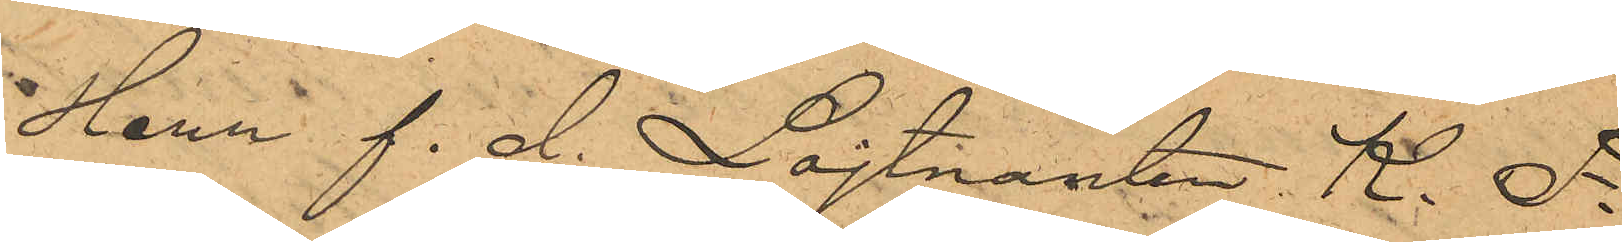Herr f. d. Löjtnanten K. F.
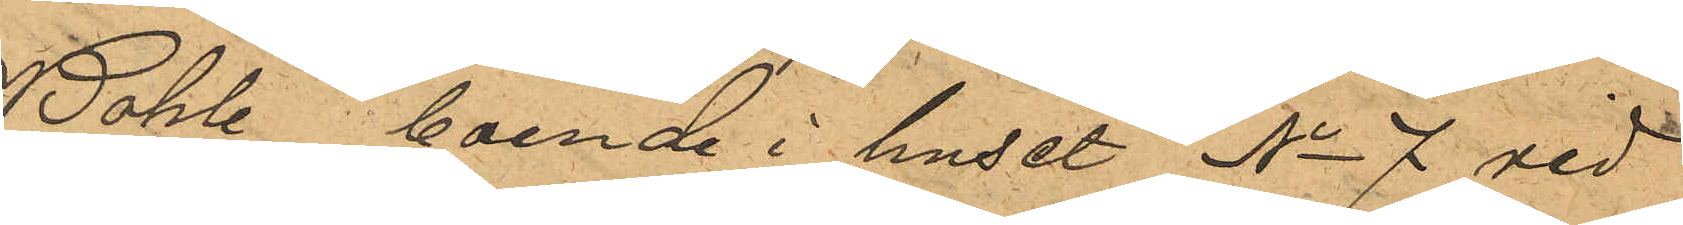Bohle, boende i huset No 7 vid
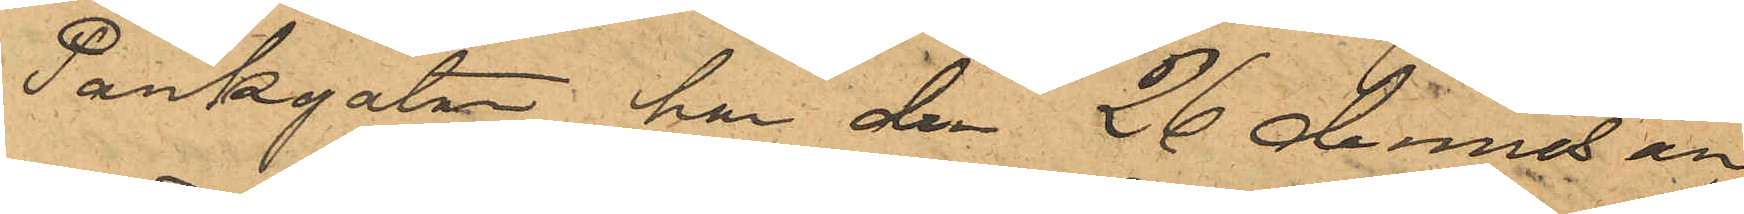Parkgatan, har den 26 dennes an¬
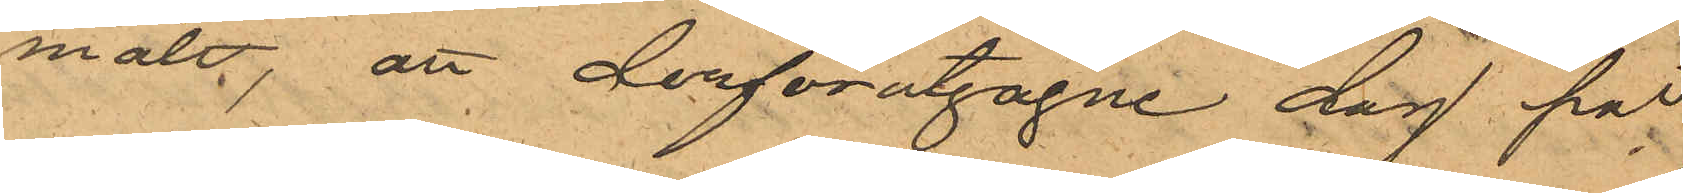mält; att derförutgågne dag på
